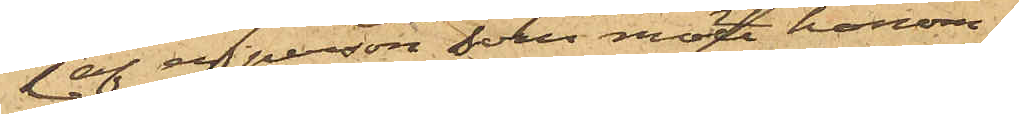af en person som mött honom;
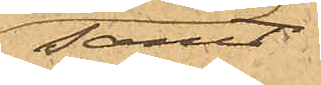samt
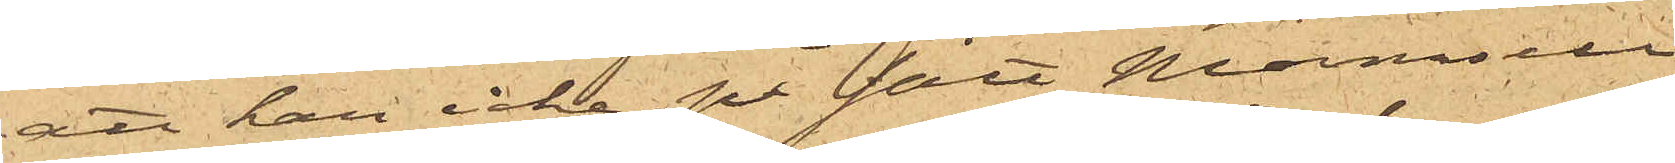att han icke, på sätt Mamsell
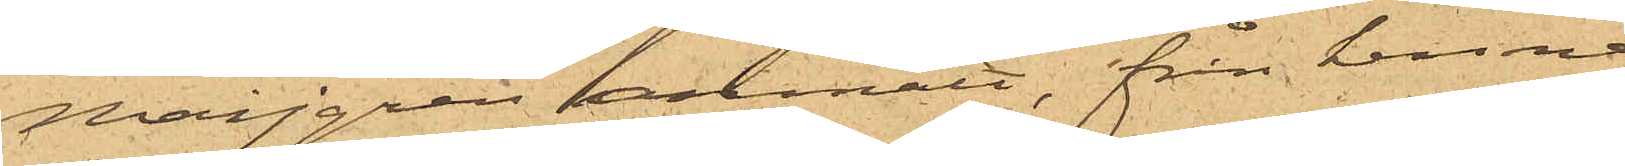Maijgren anmält, från henne
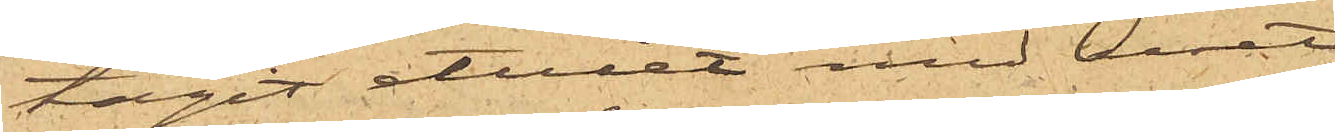tagit etuiet med uret.
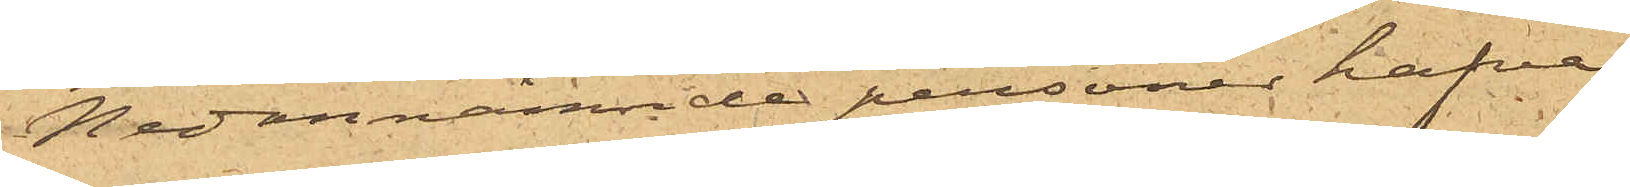Nedannämnde personer hafva
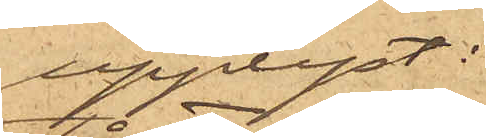upplyst:
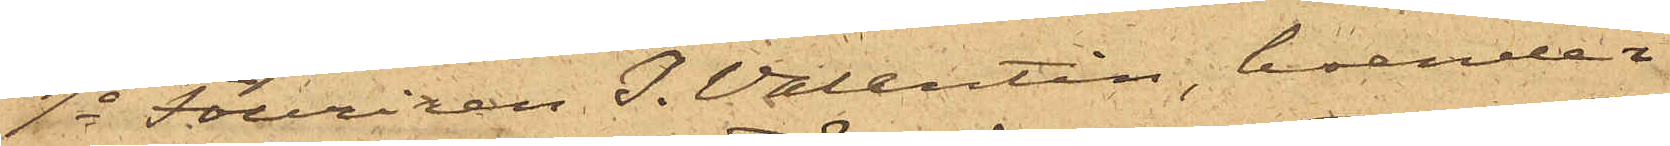1o Furiren I. Valentin, boende i
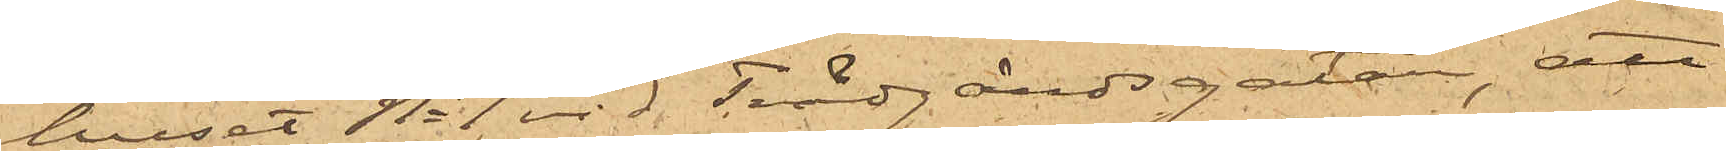huset No 1 vid Trädgårdsgatan, att
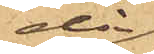då
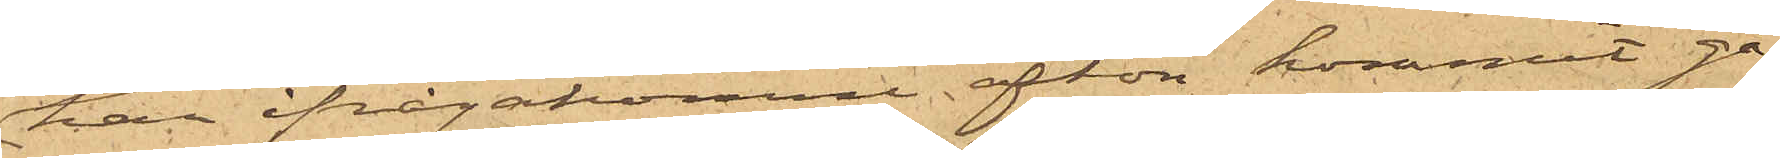han ifrågakomne afton kommit gå¬
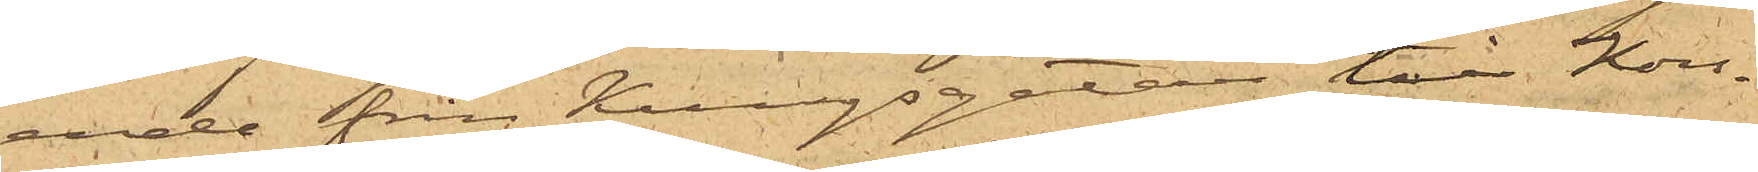ende från Kungsgatan till Kors¬
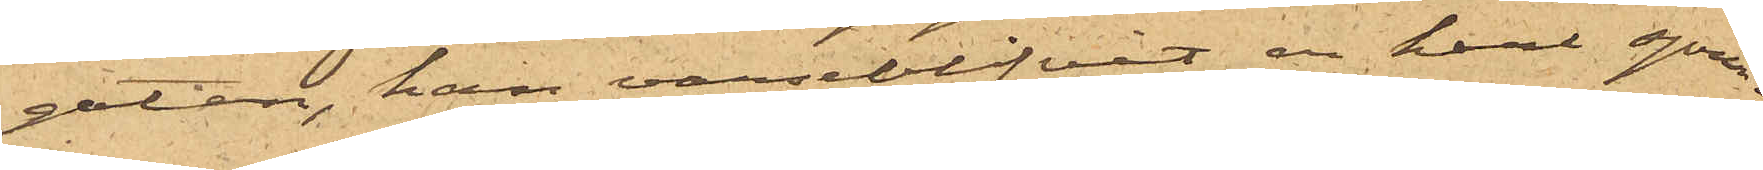gatan, han varseblfvit en karl sprin¬
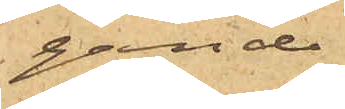gande,
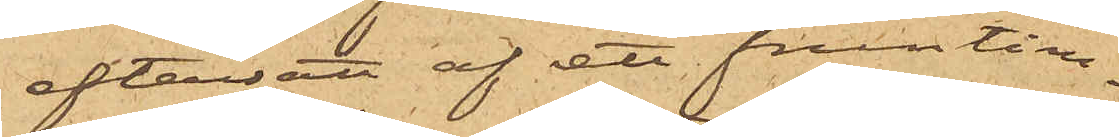eftersatt af ett fruntim¬
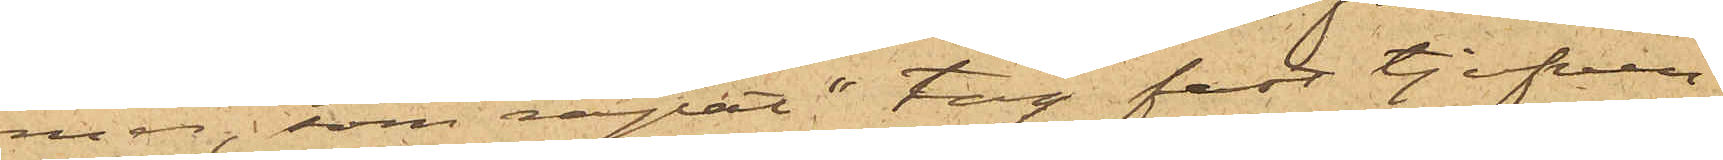mer, som ropat "tag fast tjufven";
